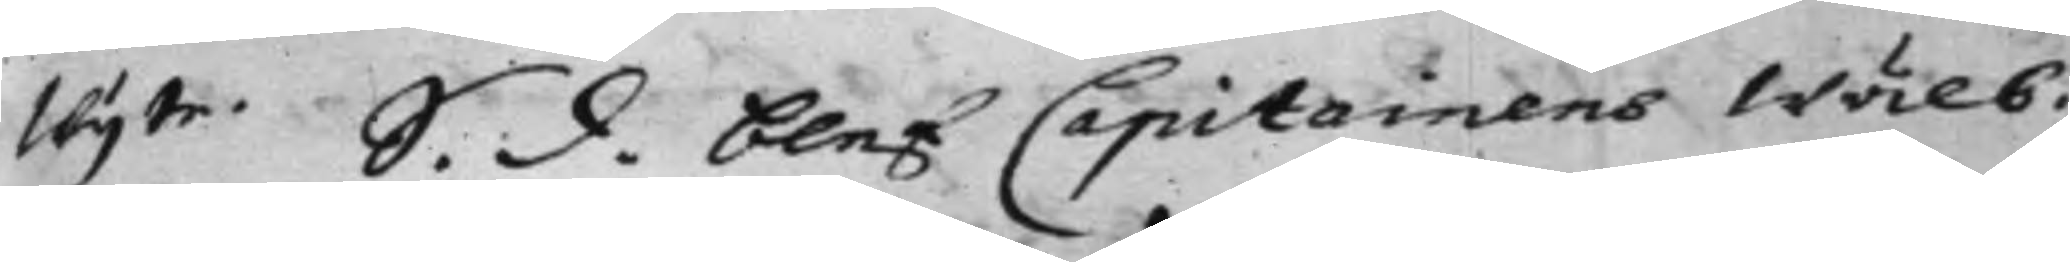Wijte. S. d. blef Capitainens Wälb.
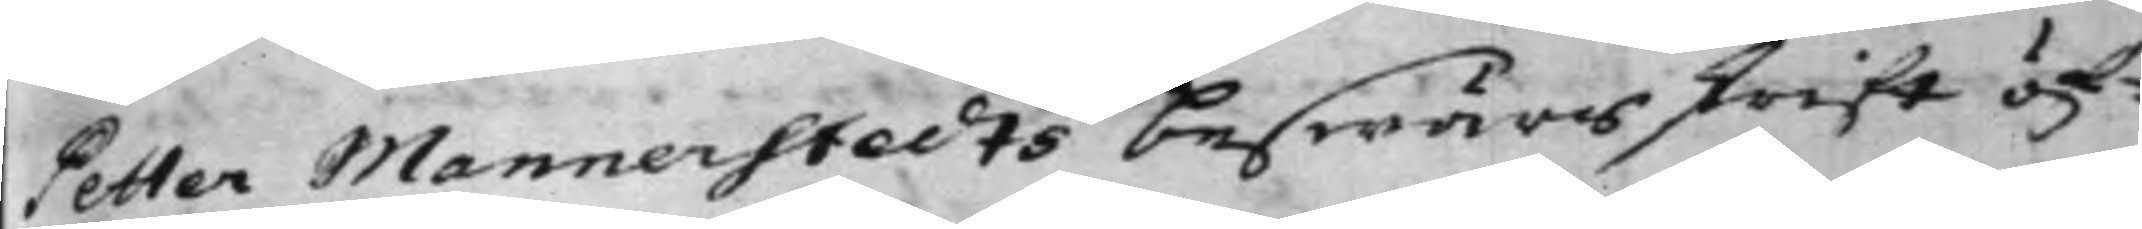Petter Mannerstedts beswärsskrift öf¬
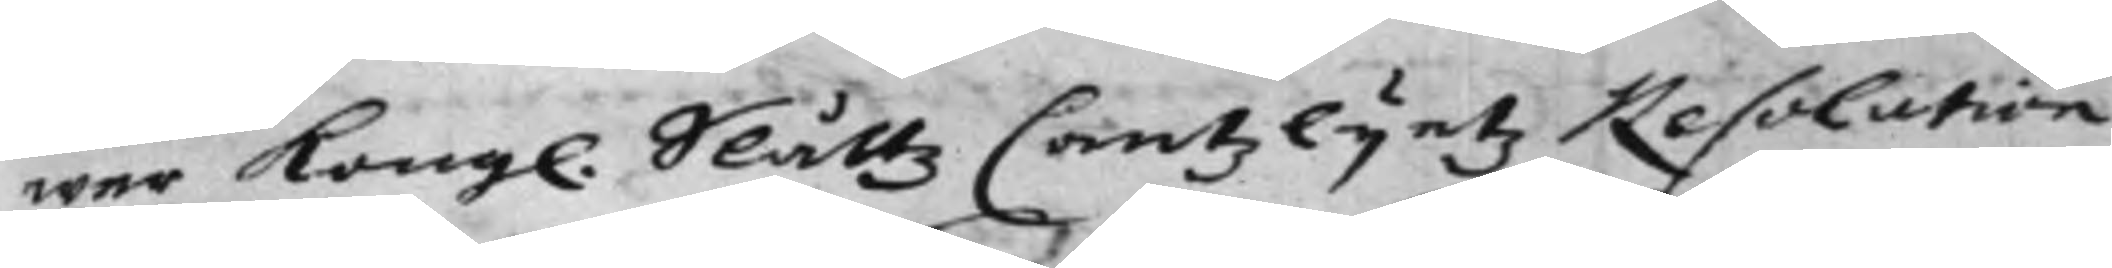wer Kongl. Slåttz Cantzlijetz Resolution
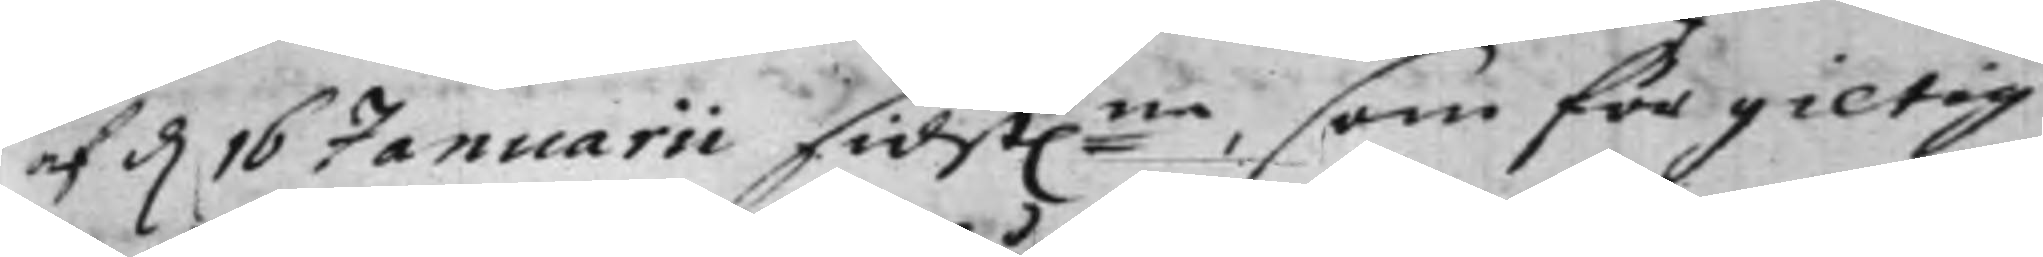af d. 16 Januarii sidst:ne, som för giltig
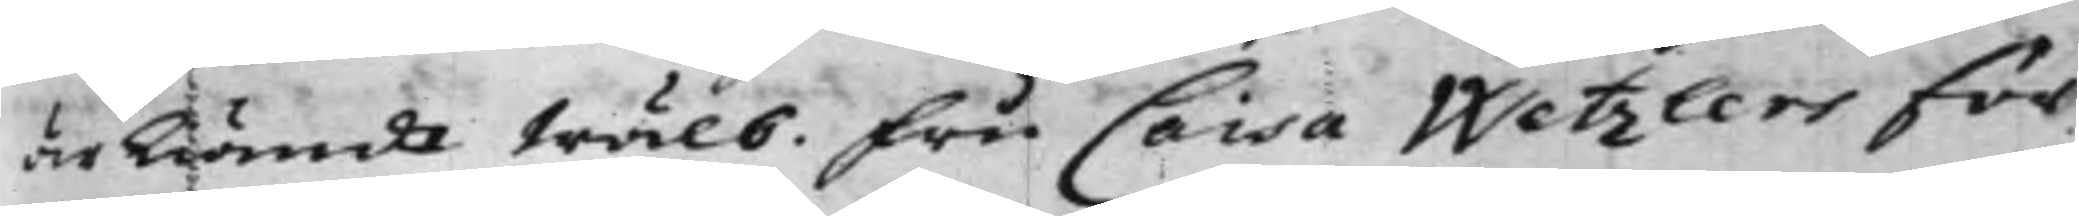ärkändt Wälb. Fru Caisa Wetzlers för
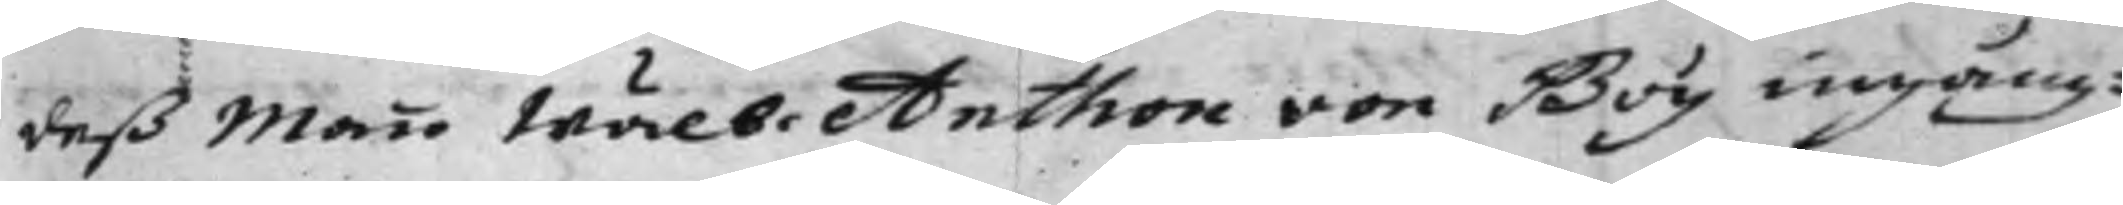deß Man Wälb. Anthon von Boy ingång¬
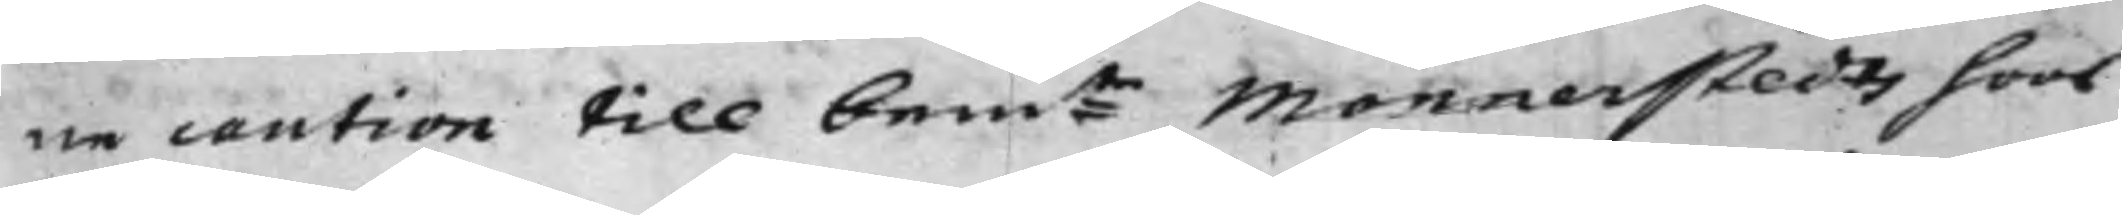ne caution till bem:te Mannerstedts hoos
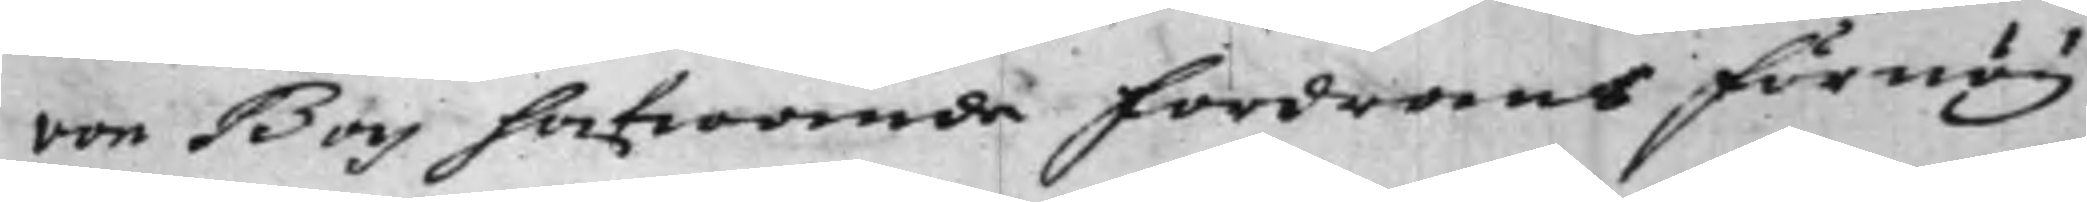von Boy hafwande fordrans förnöy¬
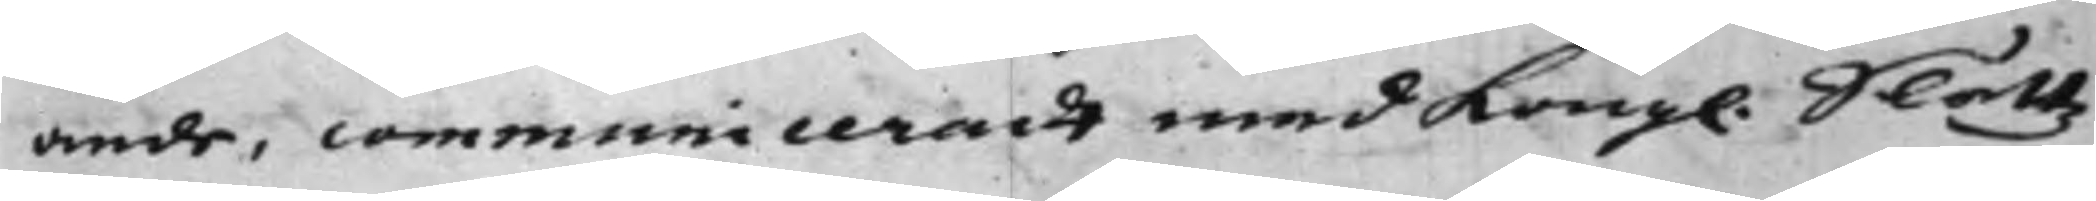ande, communiceradt med Kongl. Slåttz
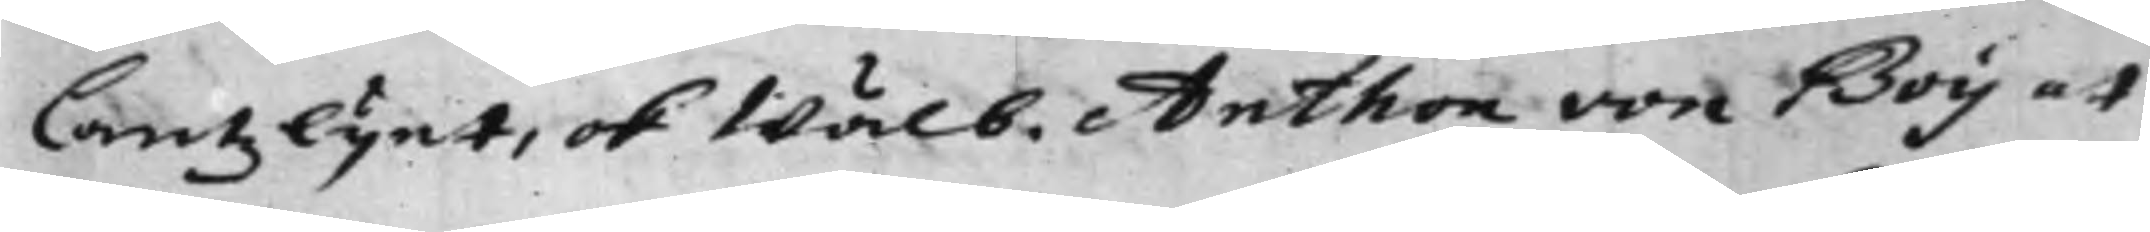Cantzlijet, ok Wälb. Anthon von Boy at
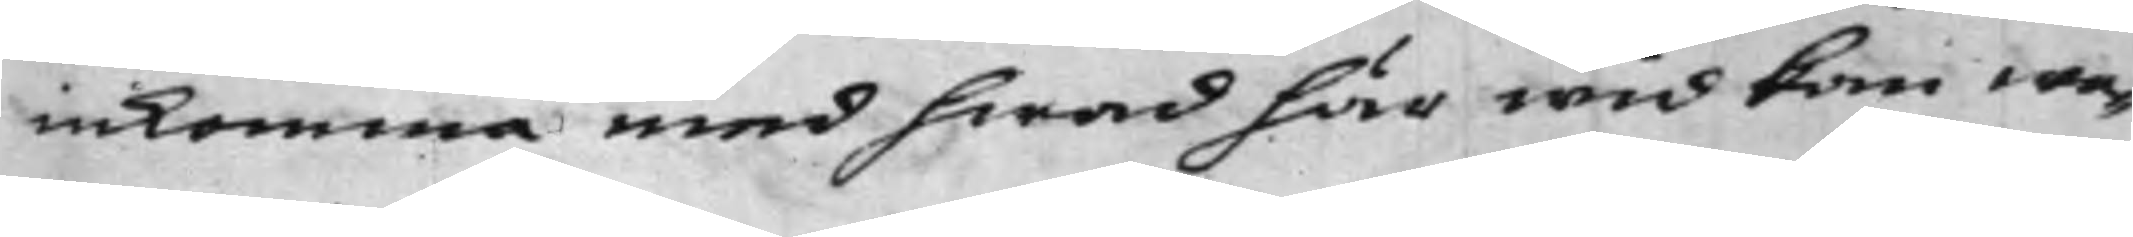inkomma med hwad här wid kan wa¬
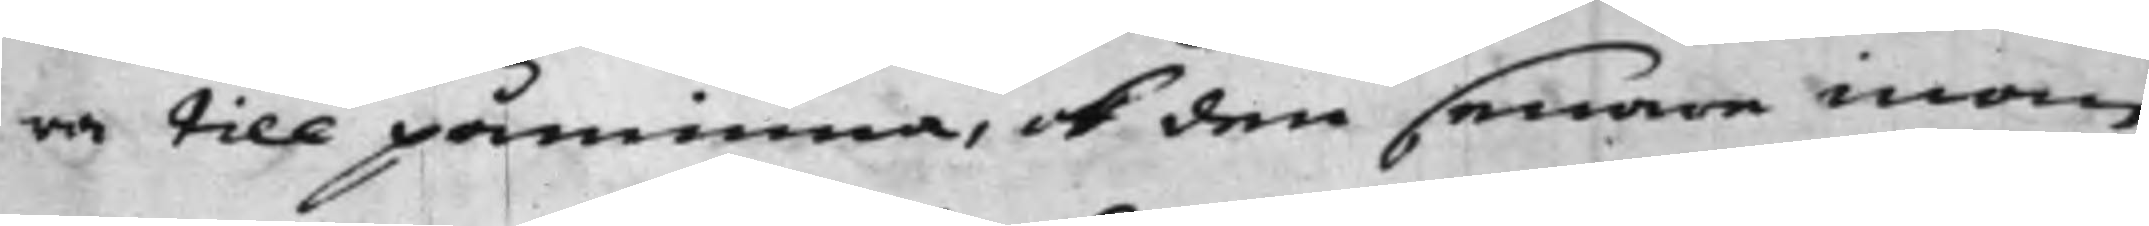ra till påminna, ok den senare inom
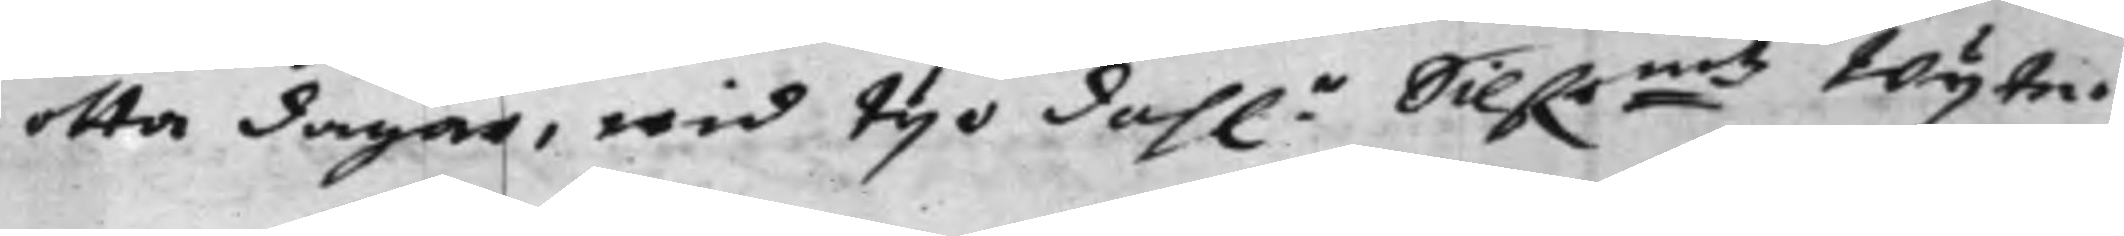otta dagar, wid tijo dah.r Silf.r:mtz Wijte.
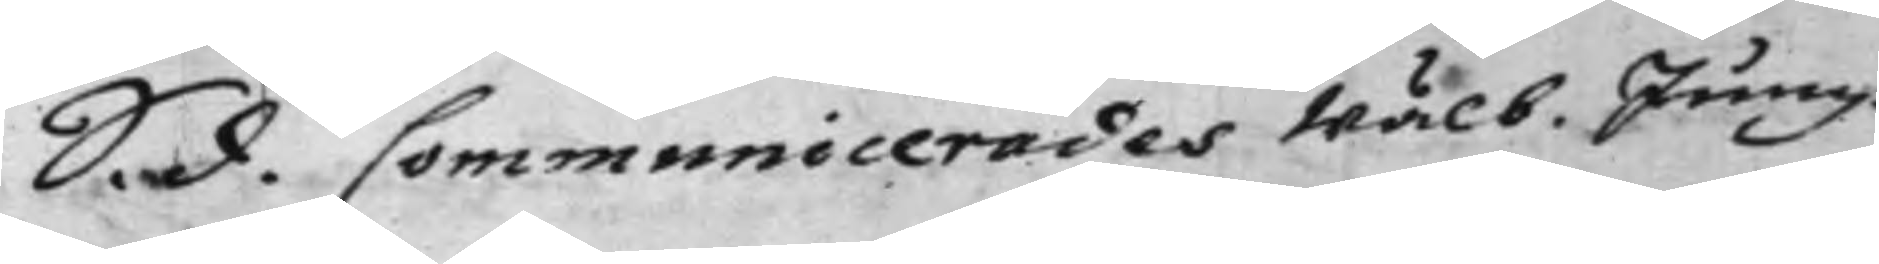S. d. Communicerades Wälb. Jung¬
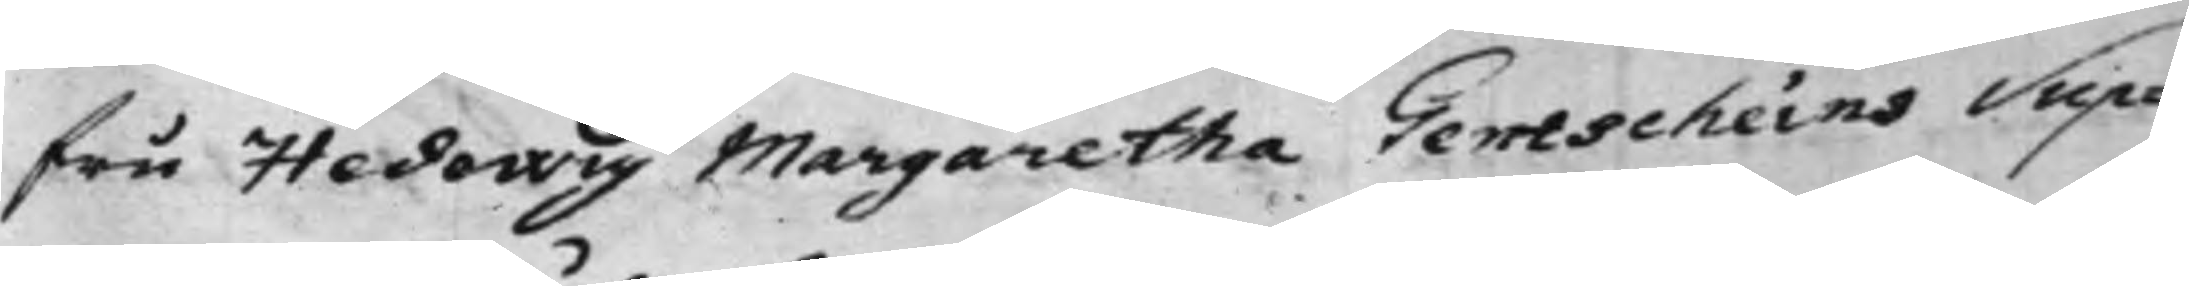fru Hedewig Margaretha Gentscheins Sup¬
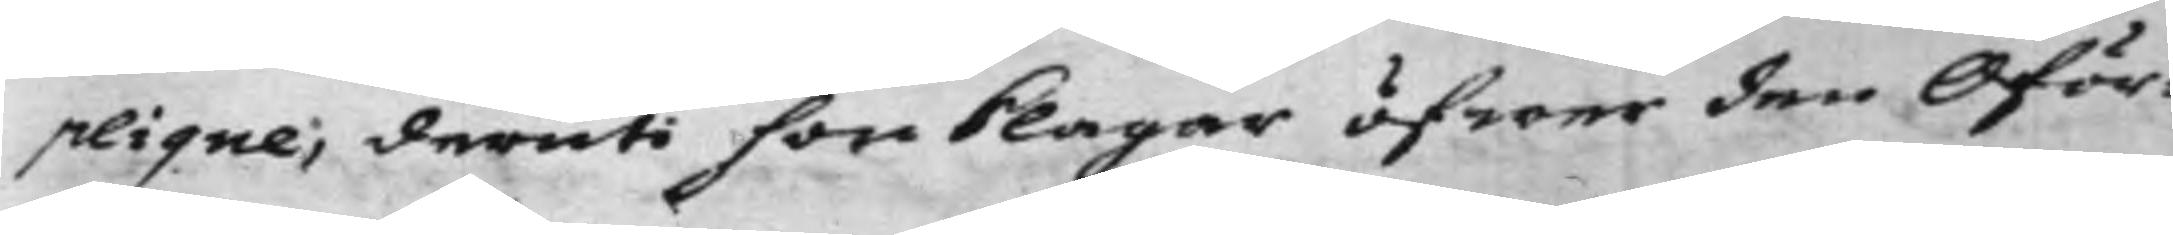plique; deruti hon klagar öfwer den Oför¬
